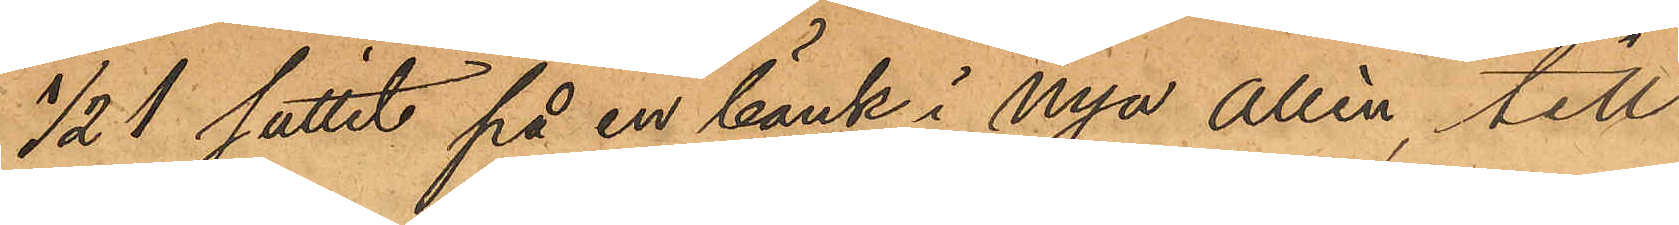1/2 1 suttit på en bänk i nya allén, till
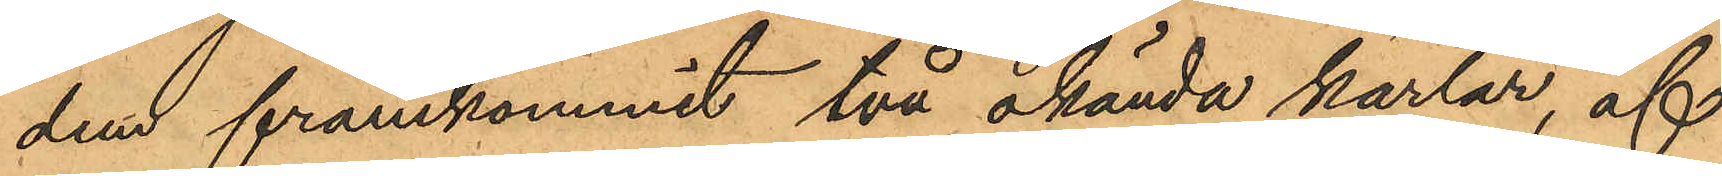dem framkommit två okända karlar, af
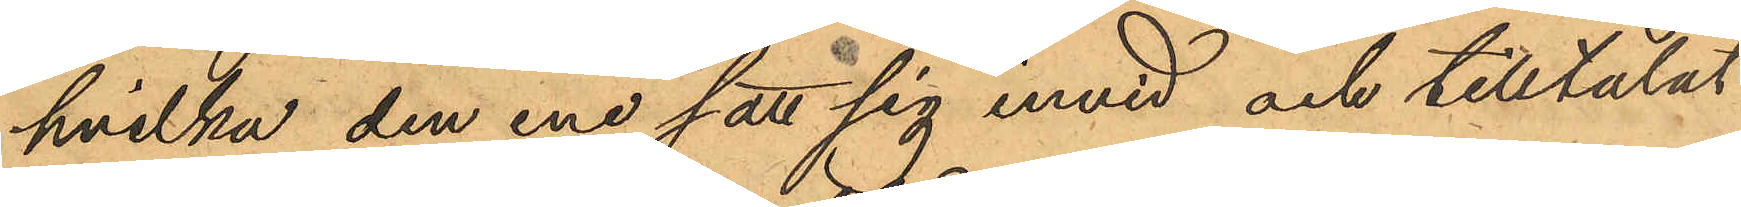hvilka den ene satt sig invid och tilltalat
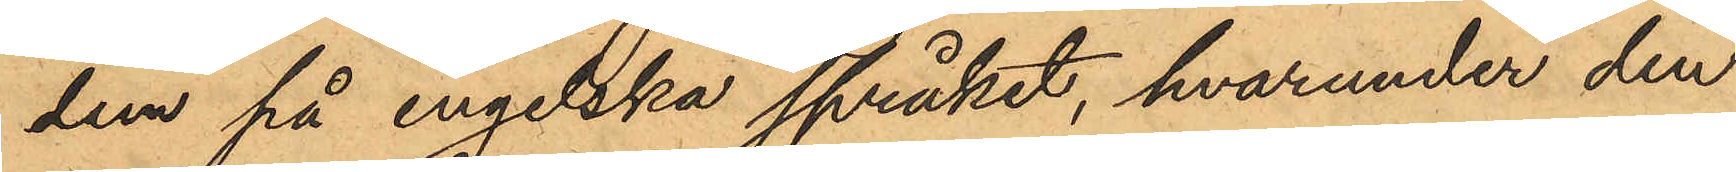dem på engelska språket, hvarunder den
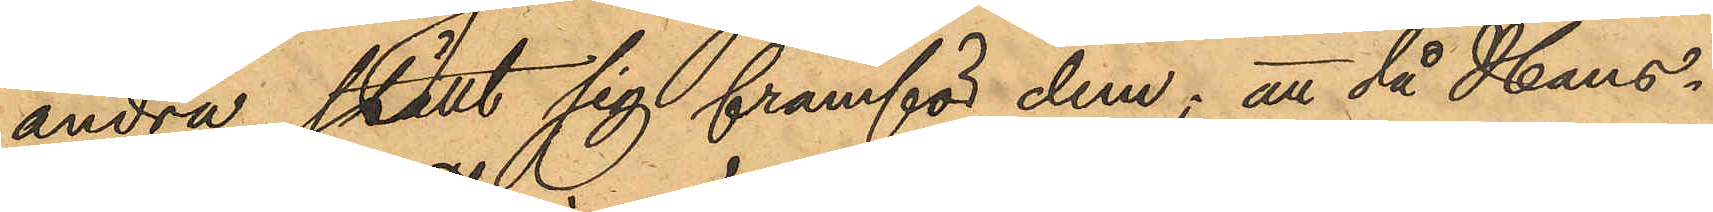andra ställt sig framför dem; att då Hans¬
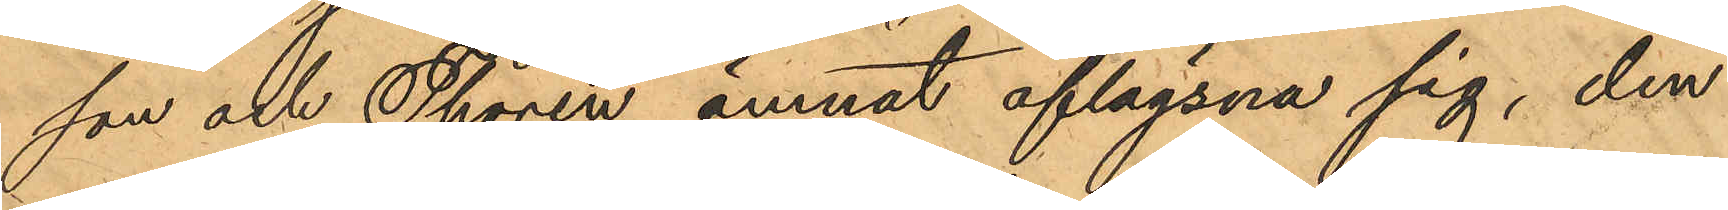son och Thorén ämnat aflägsna sig, den
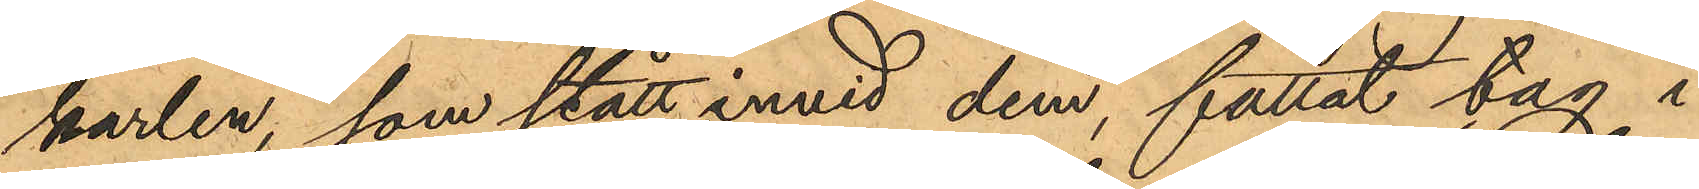karlen, som stått invid dem, fattat tag i
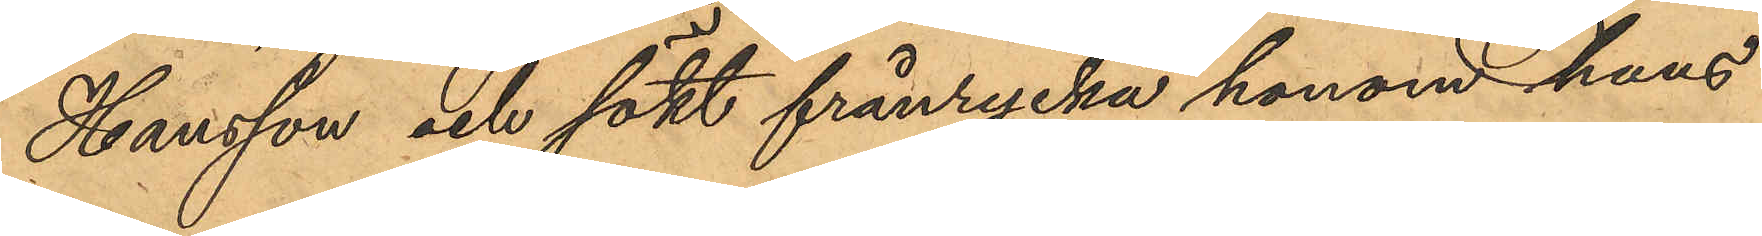Hansson och sökt frånrycka honom hans
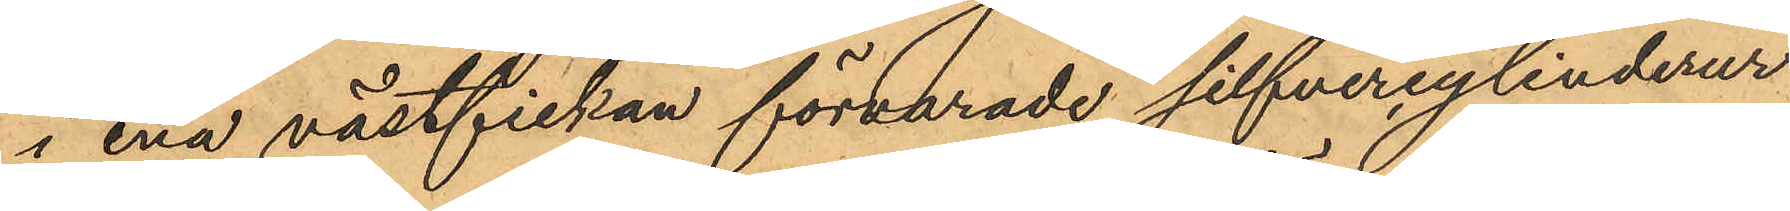i ena västfickan förvarade silfvercylinderur
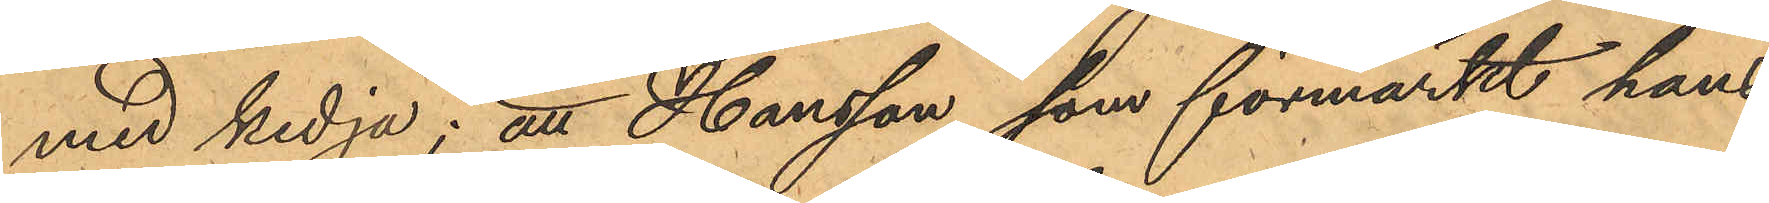med kedja; att Hansson, som förmärkt hans
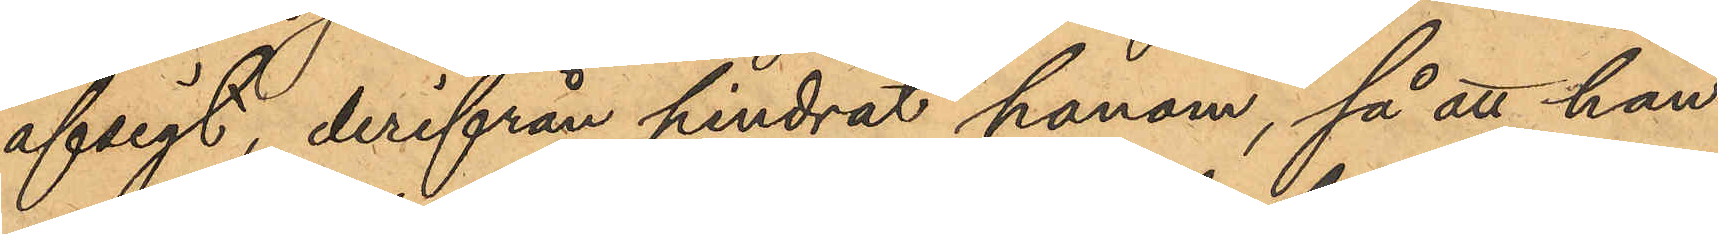afsigt, derifrån hindrar honom, så att han
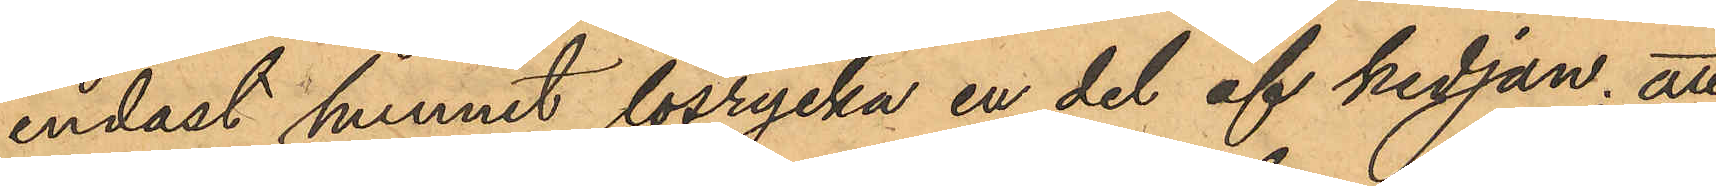endast hunnit lösrycka en del af kedjan; att
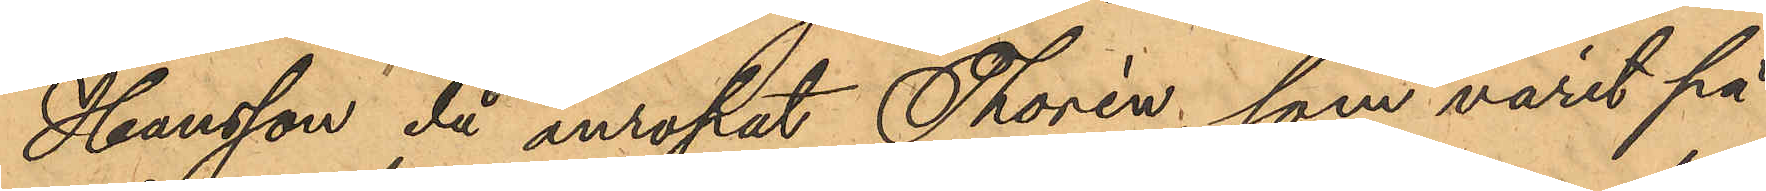Hansson, då anropat Thorén, som varit på
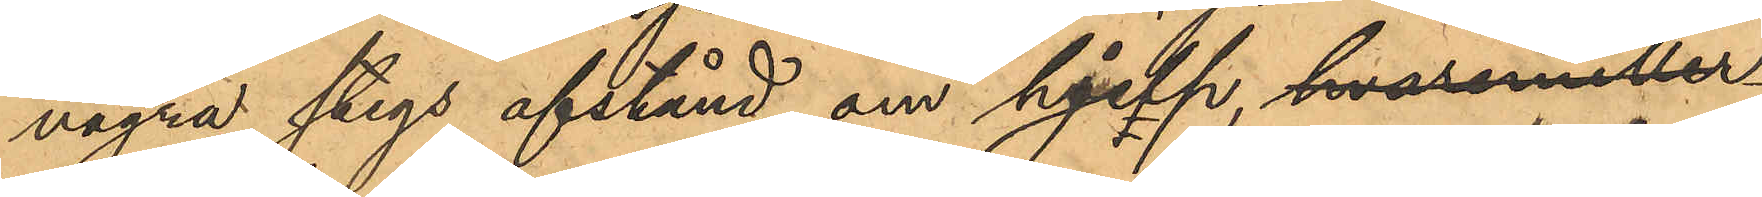några stegs afstånd, om hjelp, hvaremeller¬
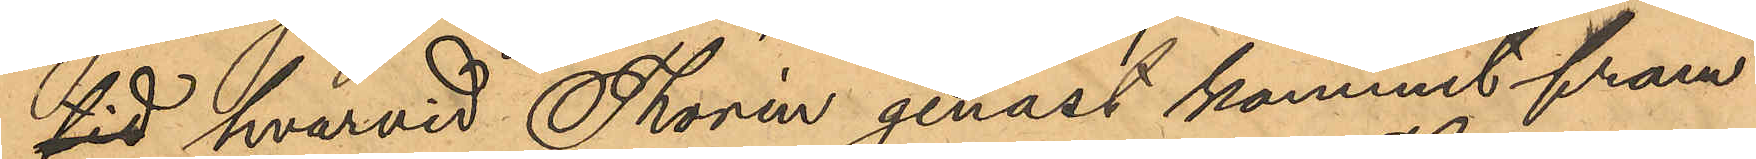tid, hvarvid Thorén genast kommit fram
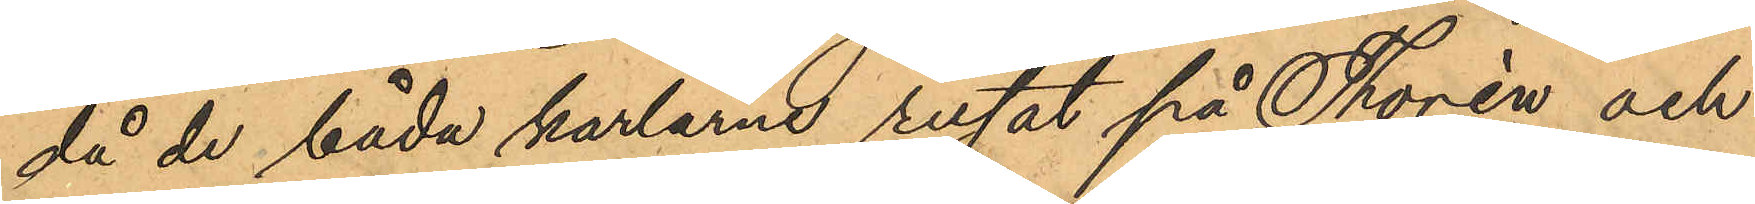då de båda karlarna rusat på Thorén och
